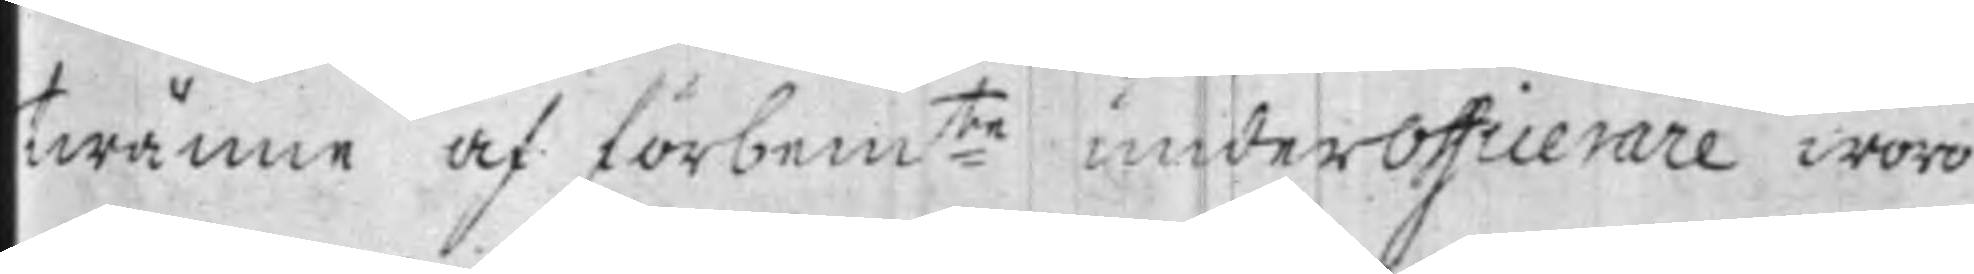twänne af förbem:te underofficerare woro
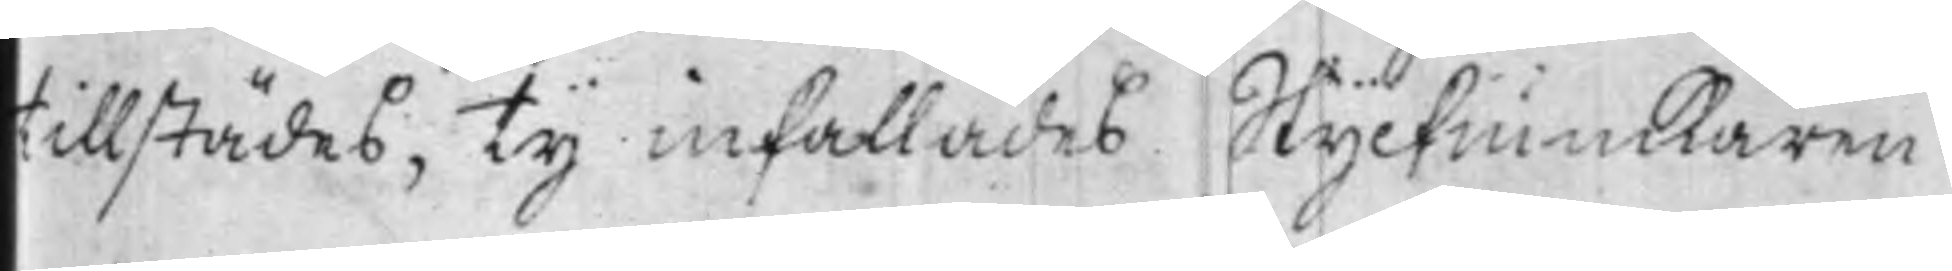tillstädes, Ty inkallades Styckiunkaren
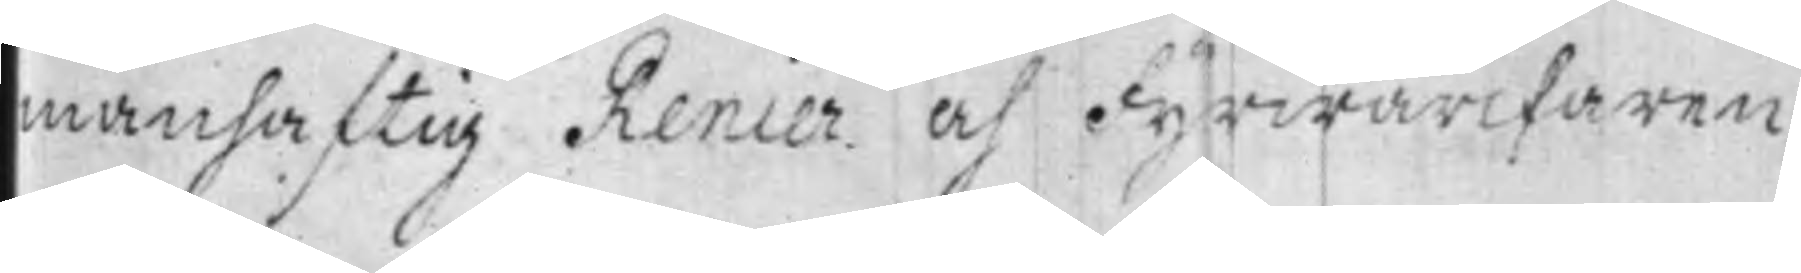manhaftig Renier och Fyrwärckaren
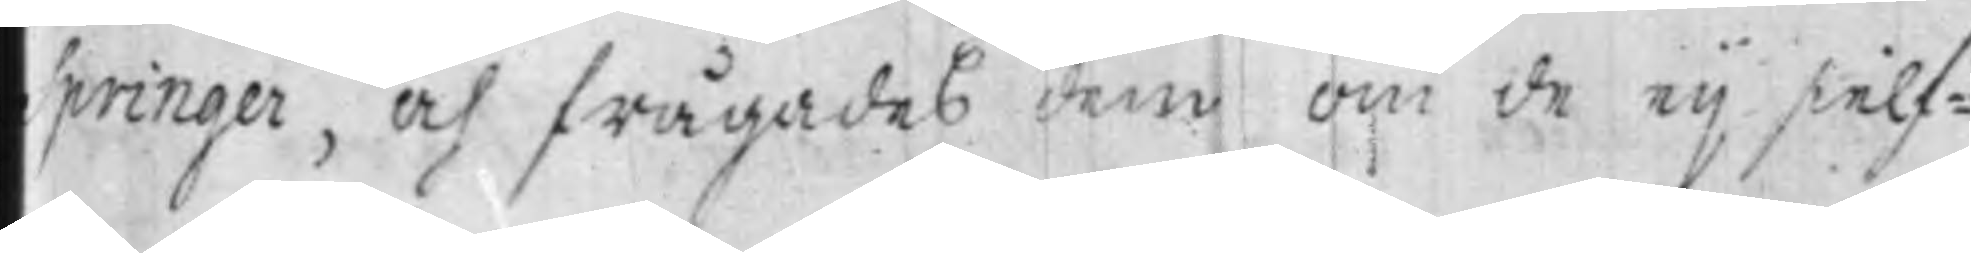Springer, och frågades dem om de eij sielf¬
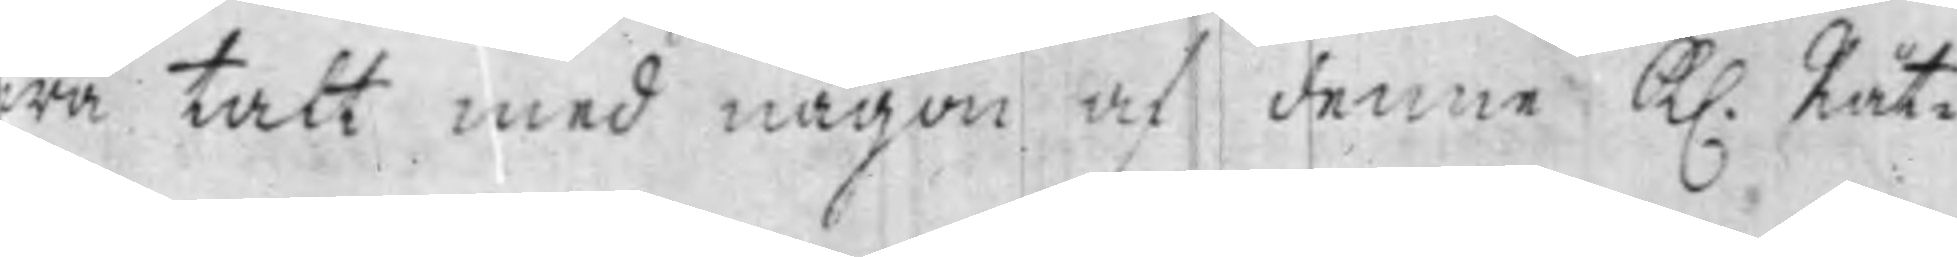wa talt med någon af denne K. Rät¬
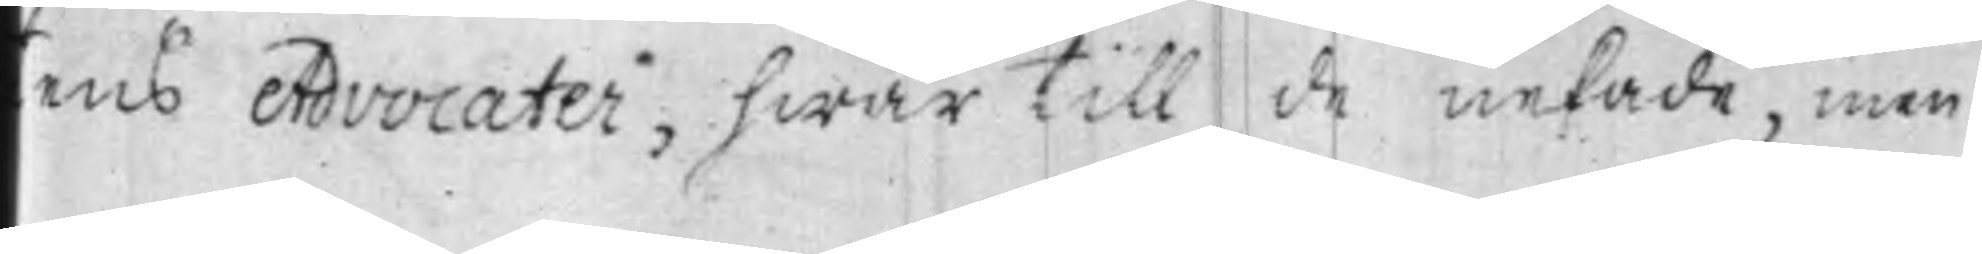tens Advocater, hwar till de nekade, men
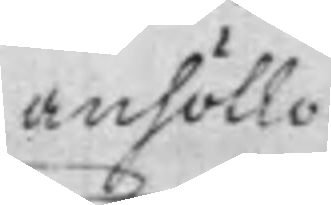anhöllo
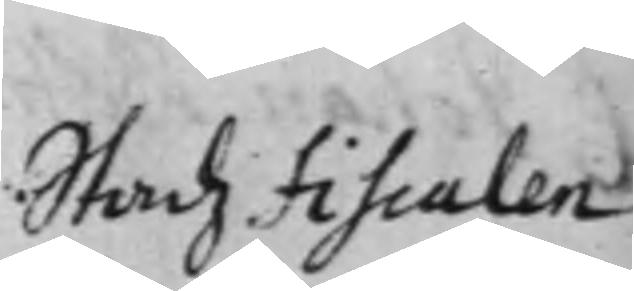Stadz Fiscalen
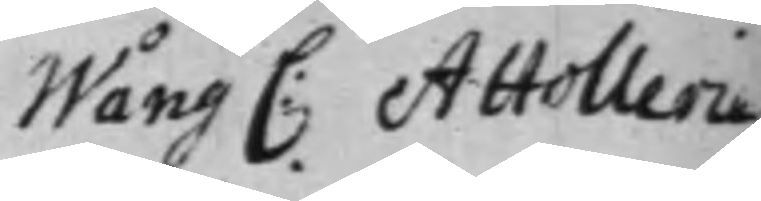Wång C: Attollerie
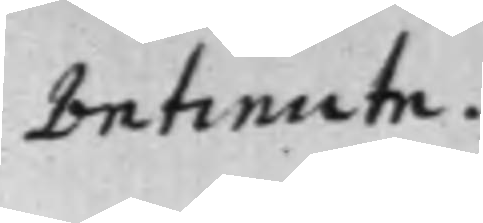betiente.
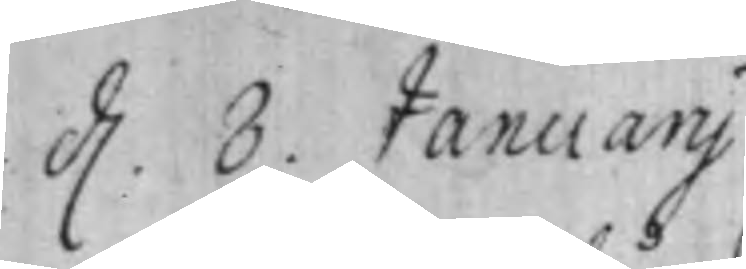d. 8 Januarij
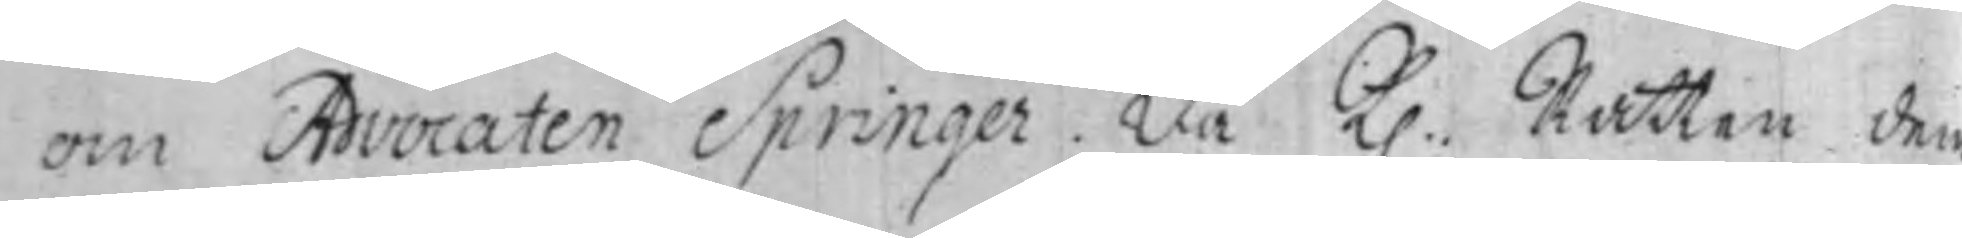om Advocaten Springer. Då K. Rätten dem
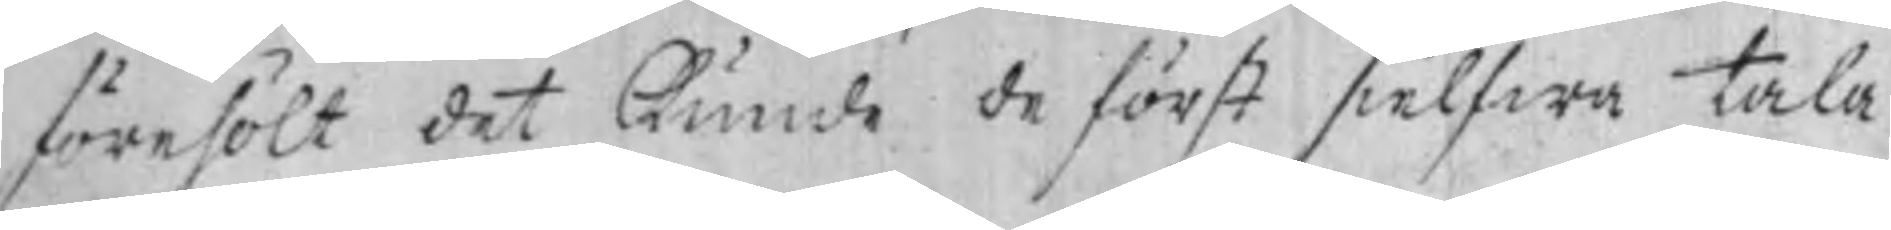förehölt det kunde de först sielfwa tala
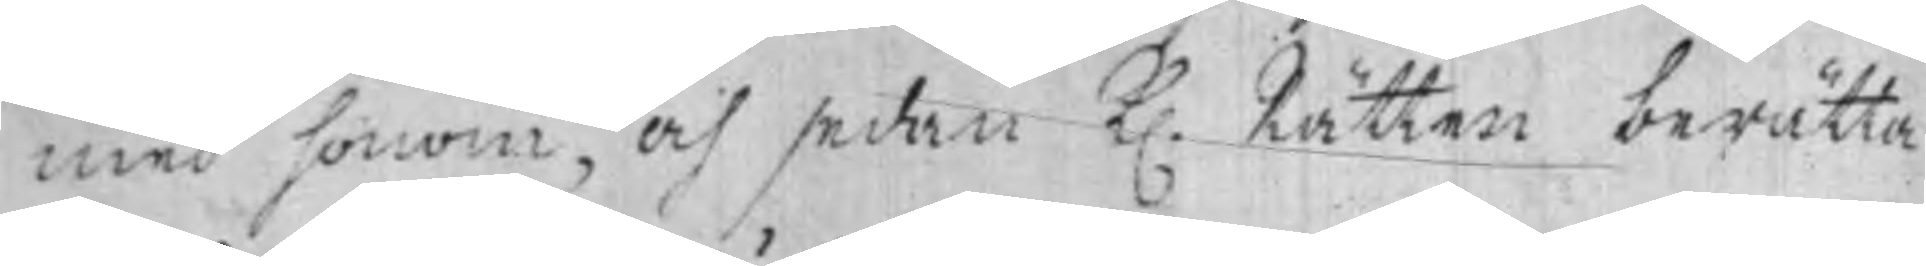med honom, och sedan K. Rätten berätta
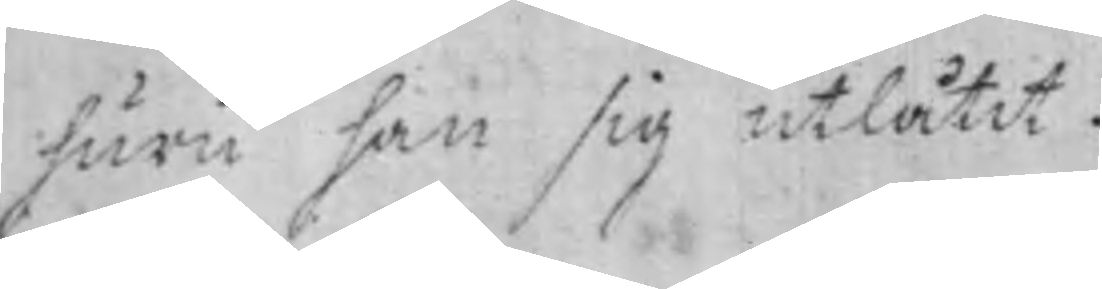huru han sig utlåtit.
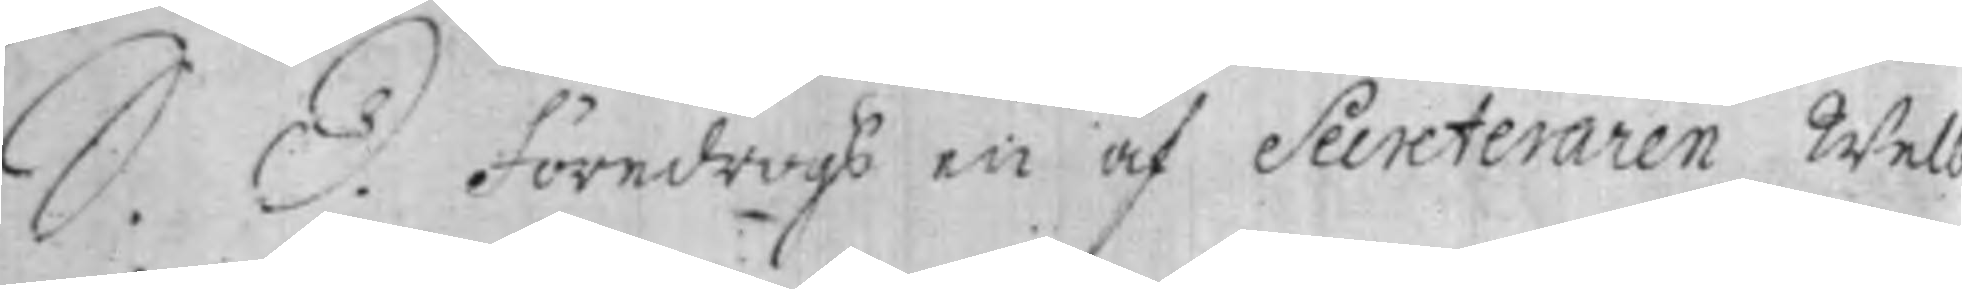S. D. föredrogs en af Secreteraren Welb
